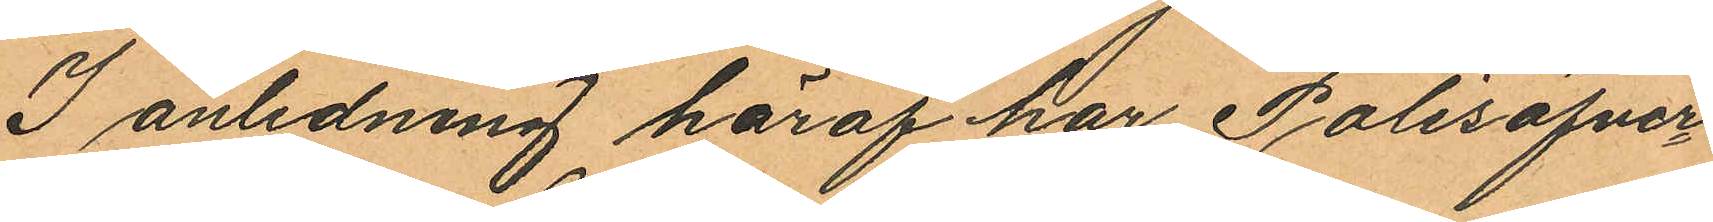I anledning häraf har Polisöfver¬
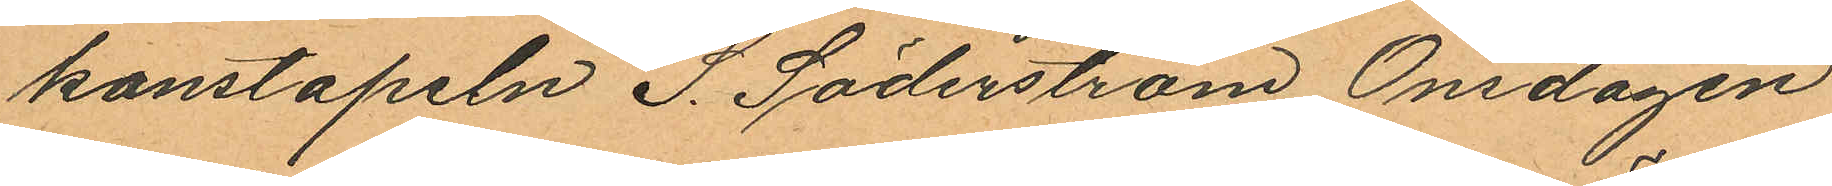konstapeln S. Söderström Onsdagen
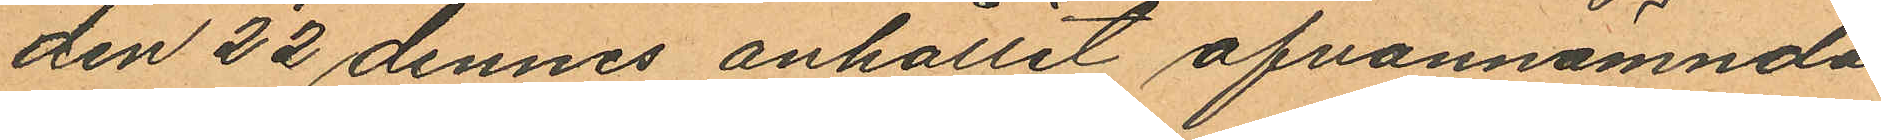den 22 dennes anhållit ofvannämnda
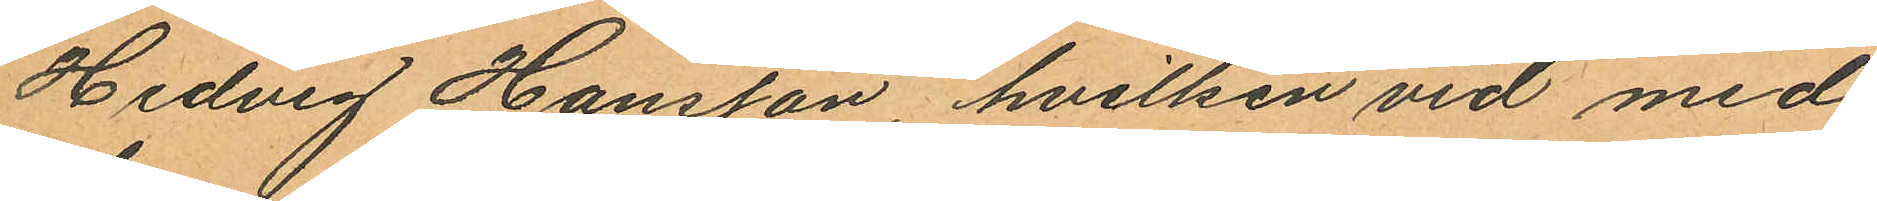Hedvig Hansson, hvilken vid med
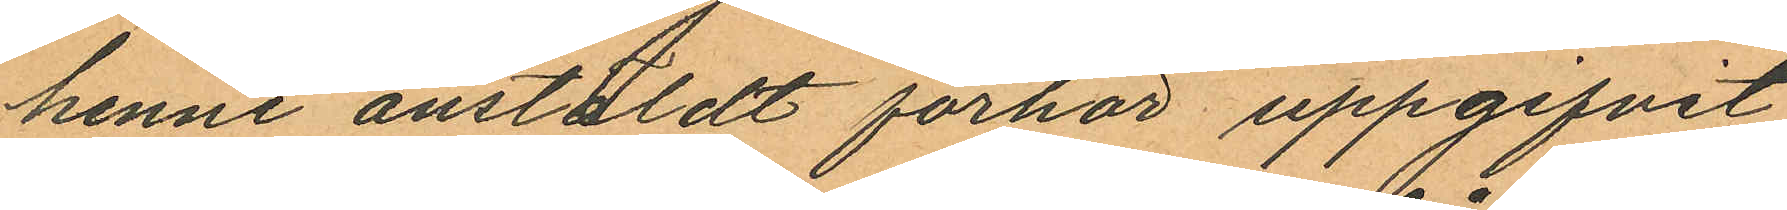henne anstäldt förhör uppgifvit
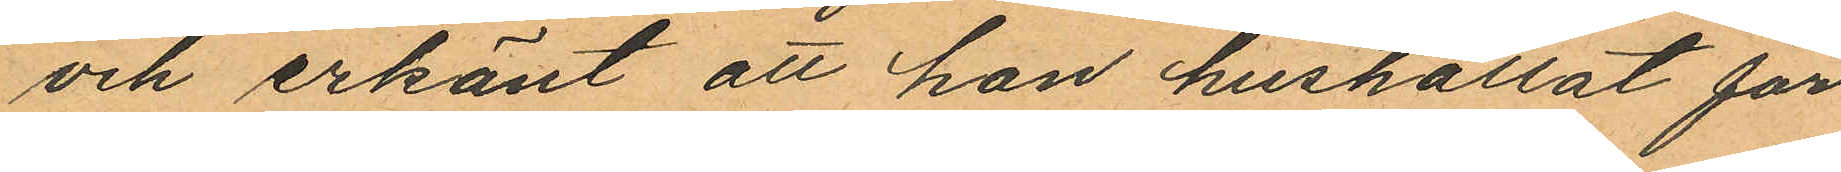och erkänt att hon hushållat för
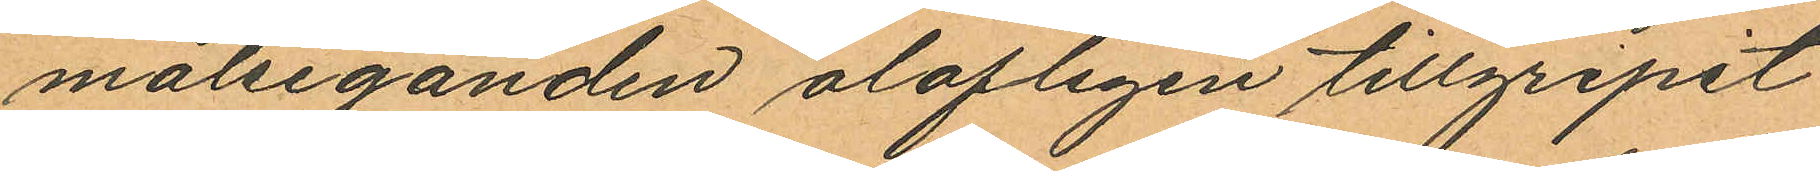målseganden olofligen tillgripit
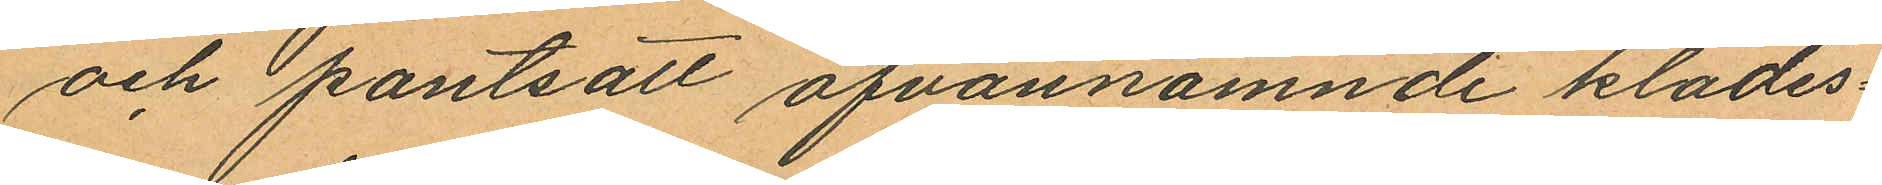och pantsatt ofvannämnde klädes¬
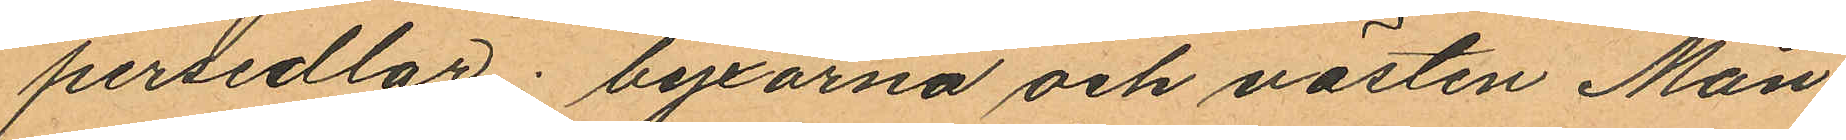persedlar; byxorna och västen Mån¬
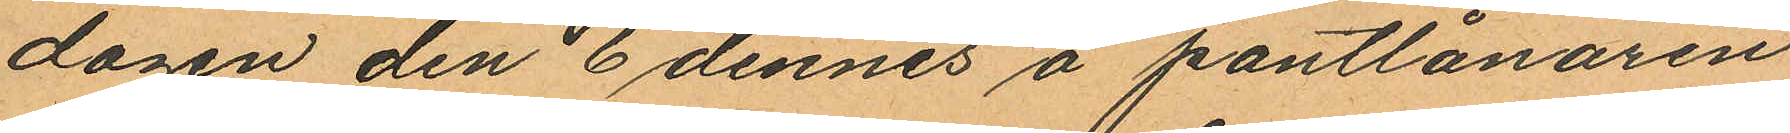dagen den 6 dennes å pantlånaren
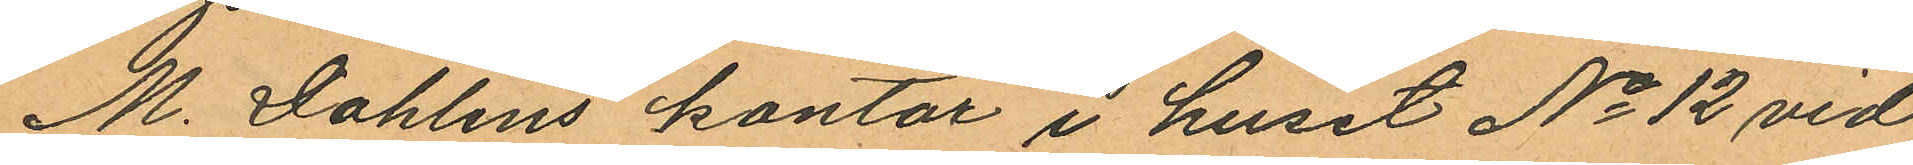M. Dahlins kontor i huset No 12 vid
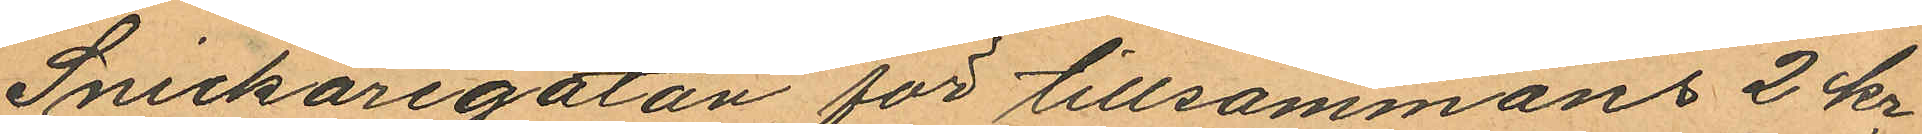Snickaregatan för tillsammans 2 kr
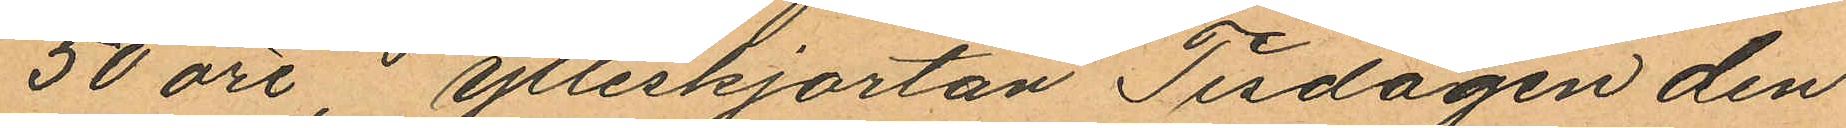50 öre, ylleskjortan Tisdagen den
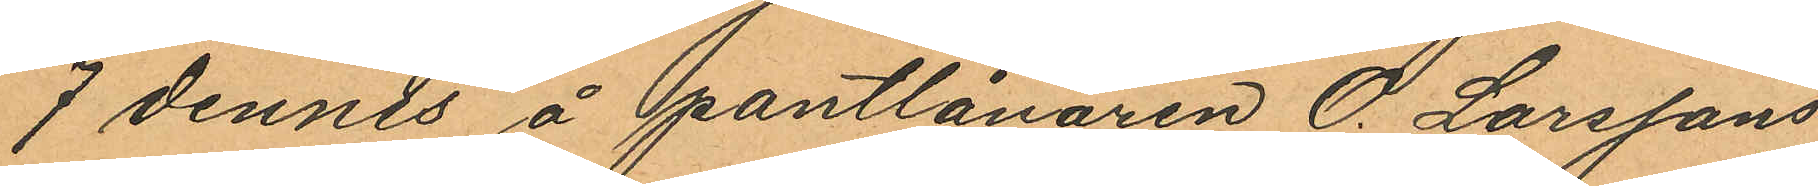7 dennes å pantlånaren O. Larssons
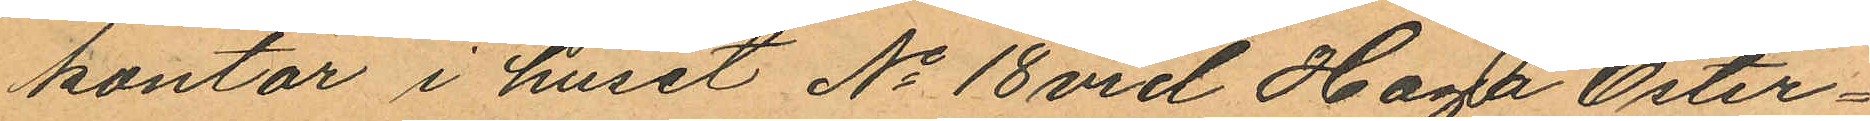kontor i huset No 18 vid Haga Öster¬
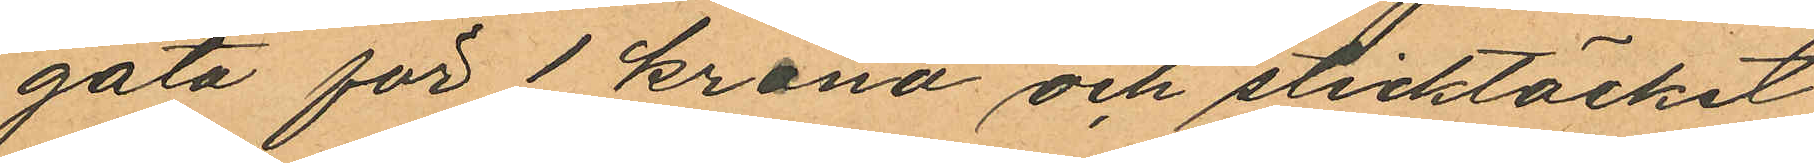gata för 1 krona och sticktäcket
